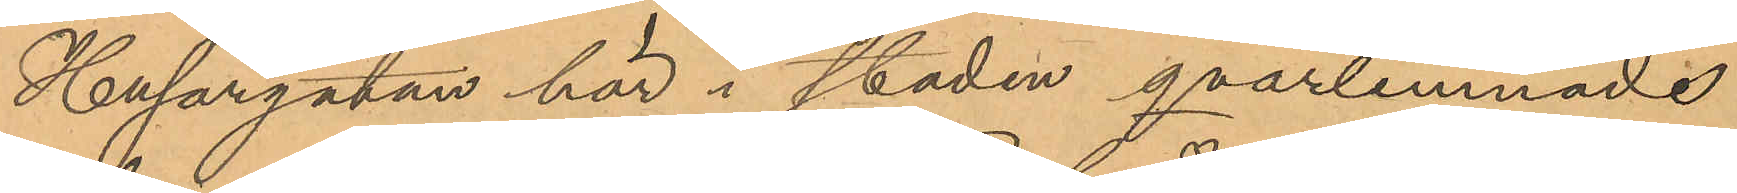Husargatan här i staden, qvarlemnade
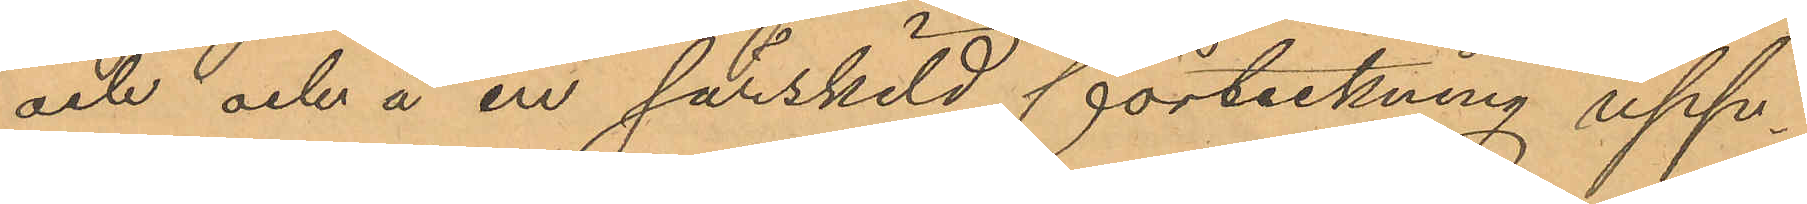och och å en särskild förteckning upp¬
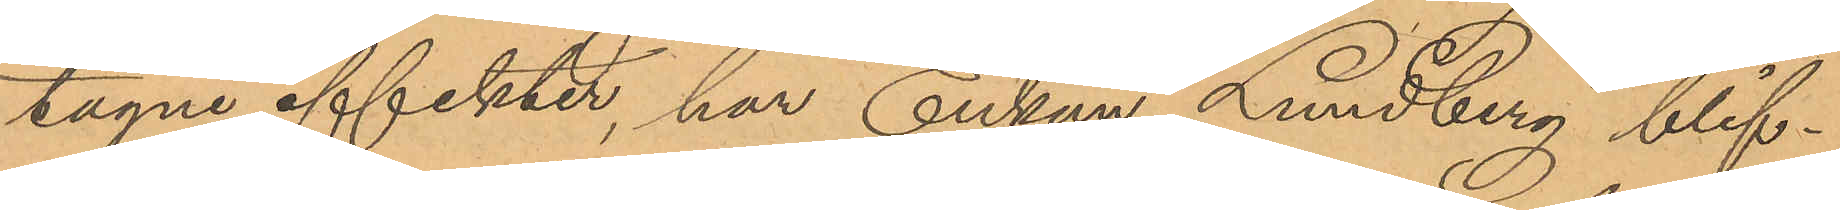tagne effekter, har Enkan Lundberg blif¬
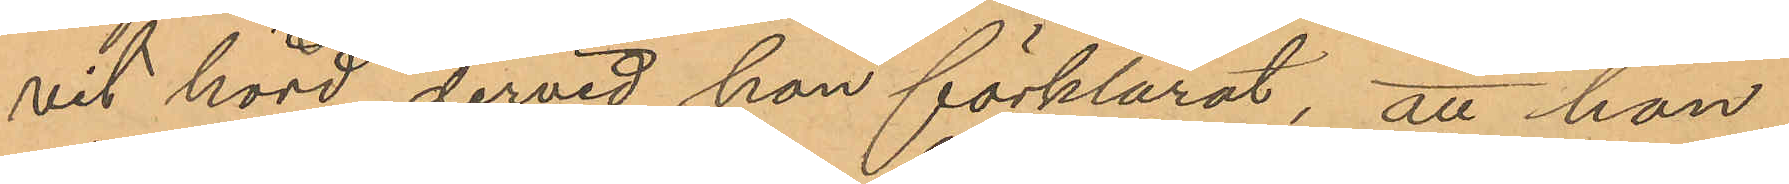vit hörd dervid hon förklarat, att hon
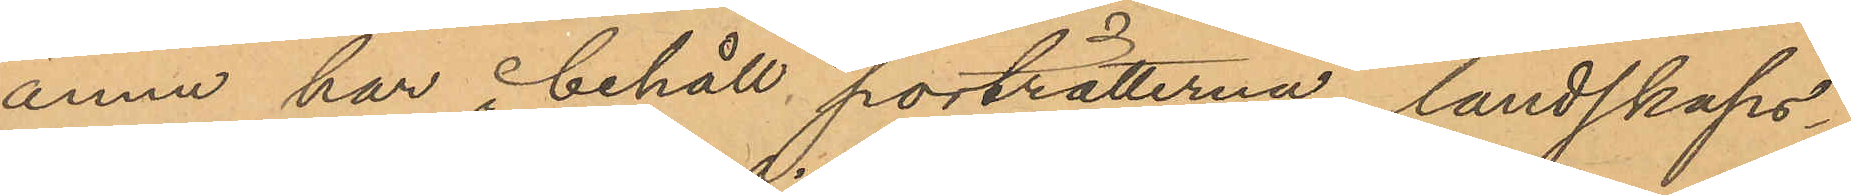ännu har i behåll porträtterna, landskaps¬
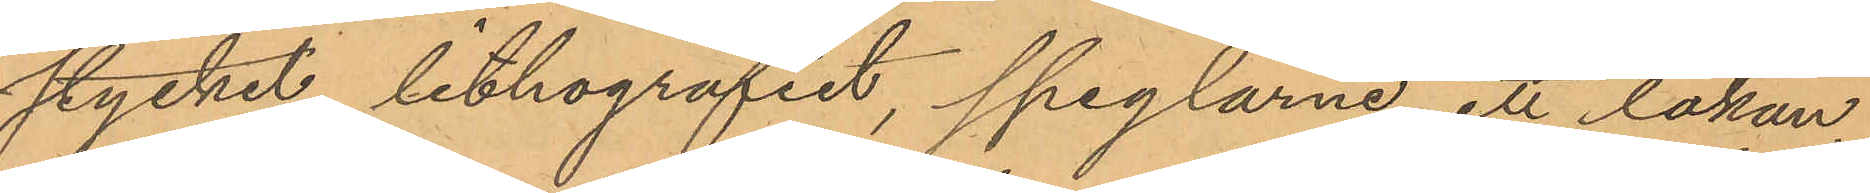stycket, lithografiet, speglarne, ett lakan,
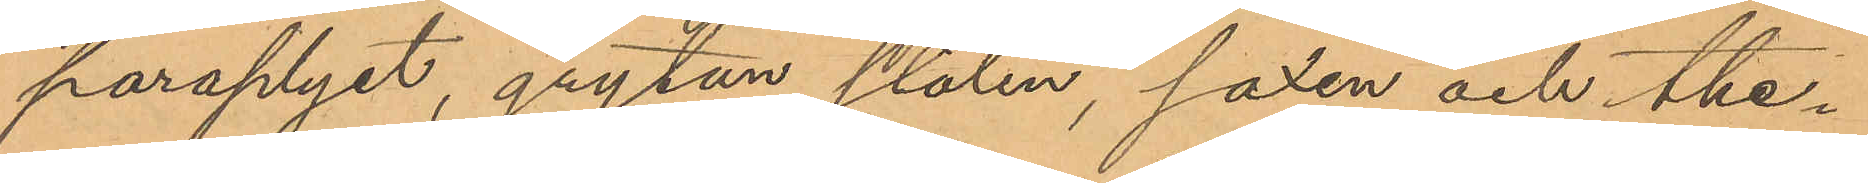paraplyet, grytan, stolen, saxen och the¬
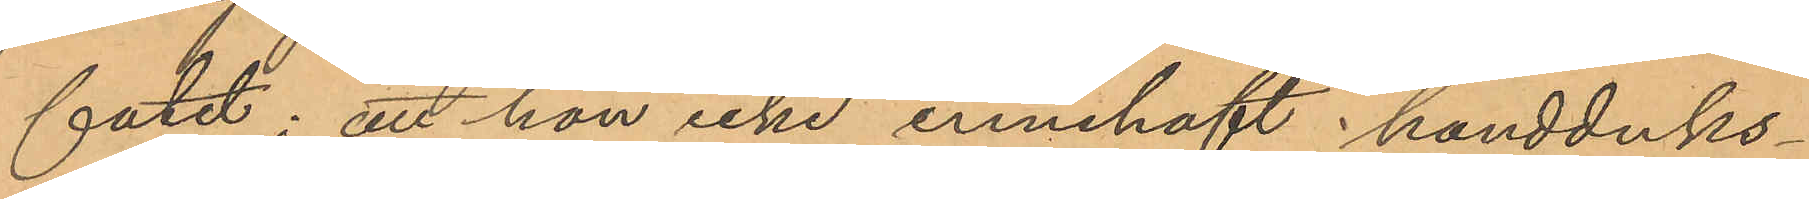fatet; att hon icke innehaft handduks¬
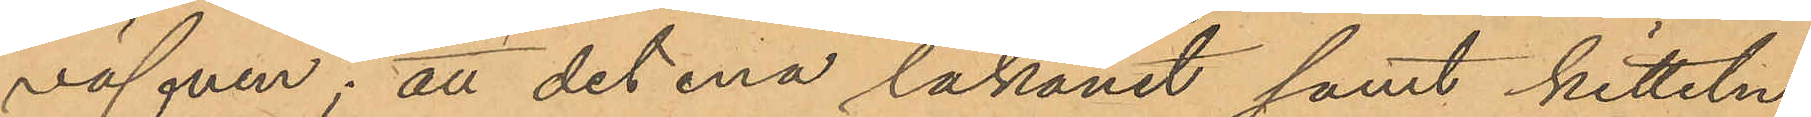väfven; att det ena lakanet samt kitteln
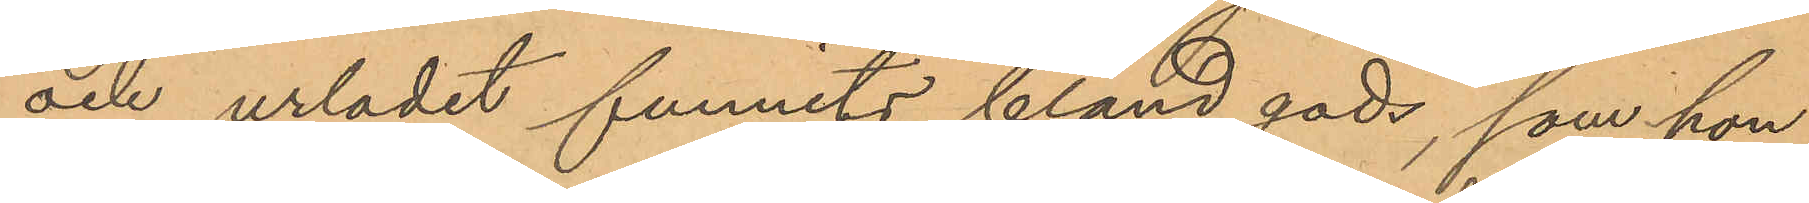och urlodet funnits bland gods, som hon
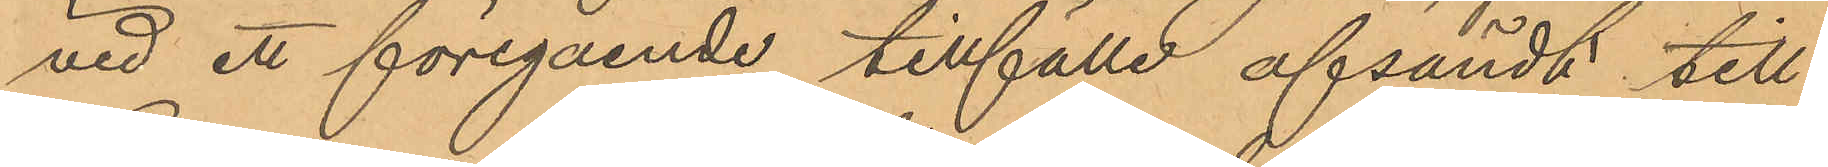vid ett föregående tillfälle afsändt till
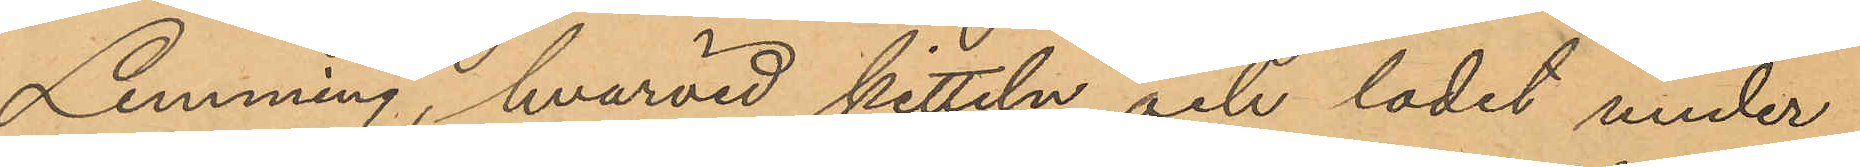Lemming, hvarvid kitteln och lodet under
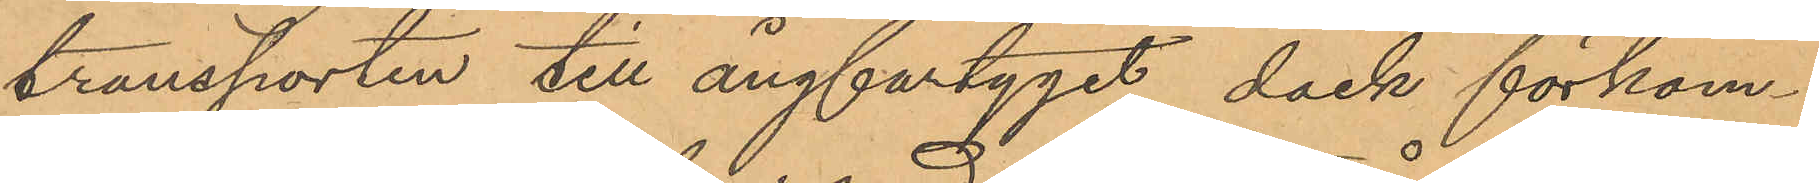transporten till ångfartyget dock förkom¬
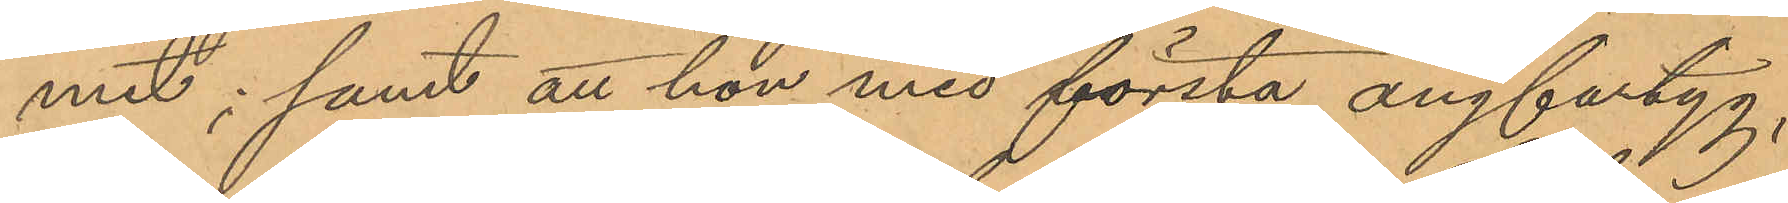mit; samt att hon med första ångfartyg,
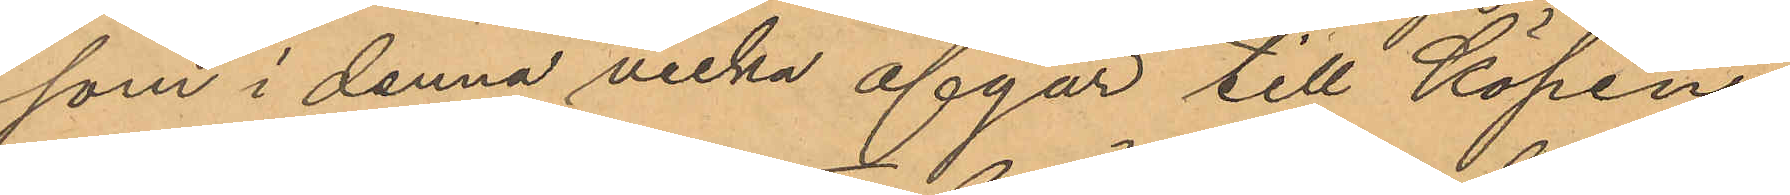som i denna vecka afgår till Köpen¬
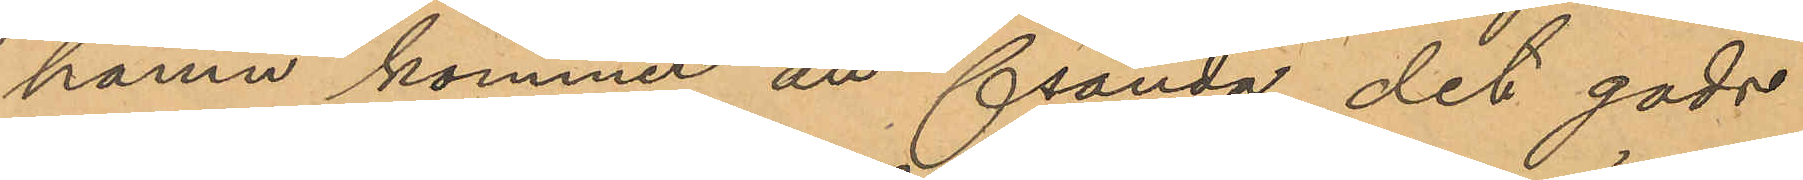hamn kommer att sända det gods
